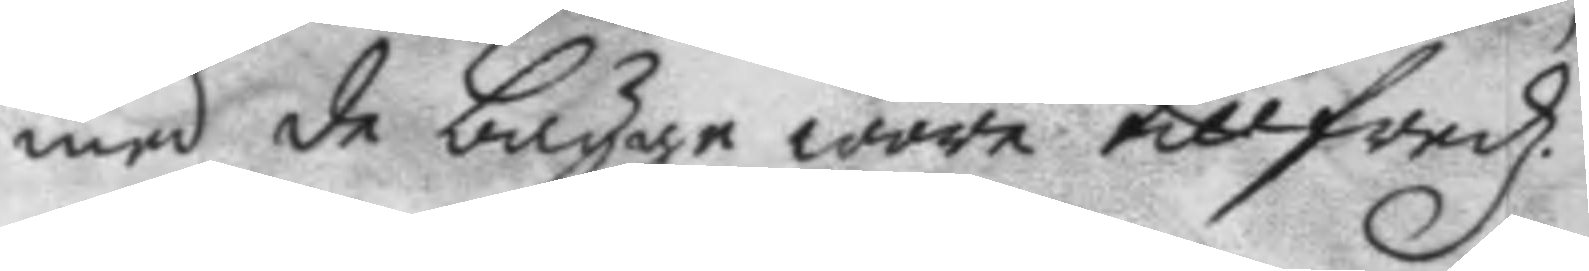med de bägge wore tillfredz.
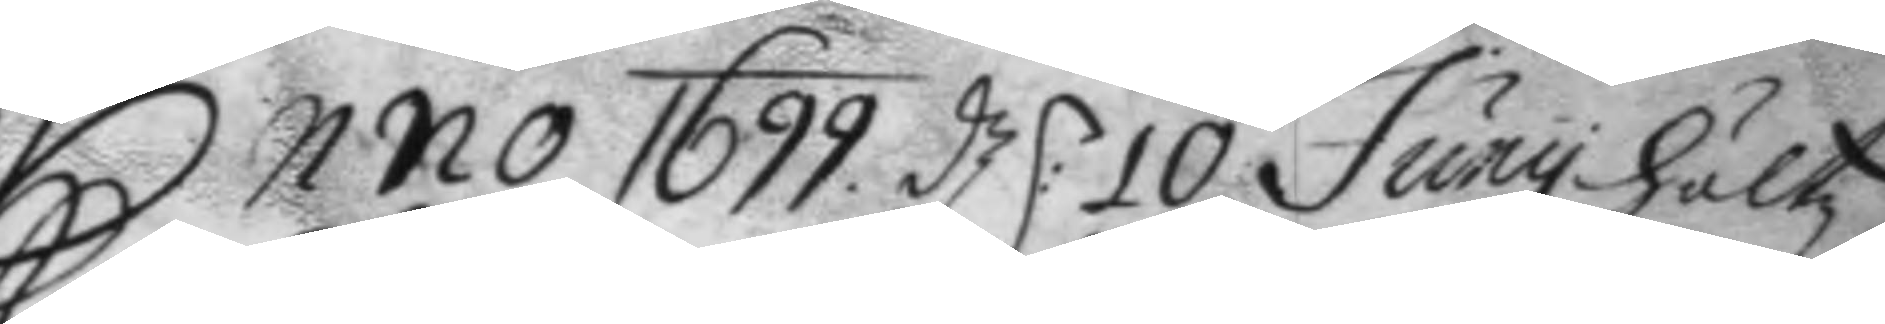Anno 1699 d:n 10 Juny höltz
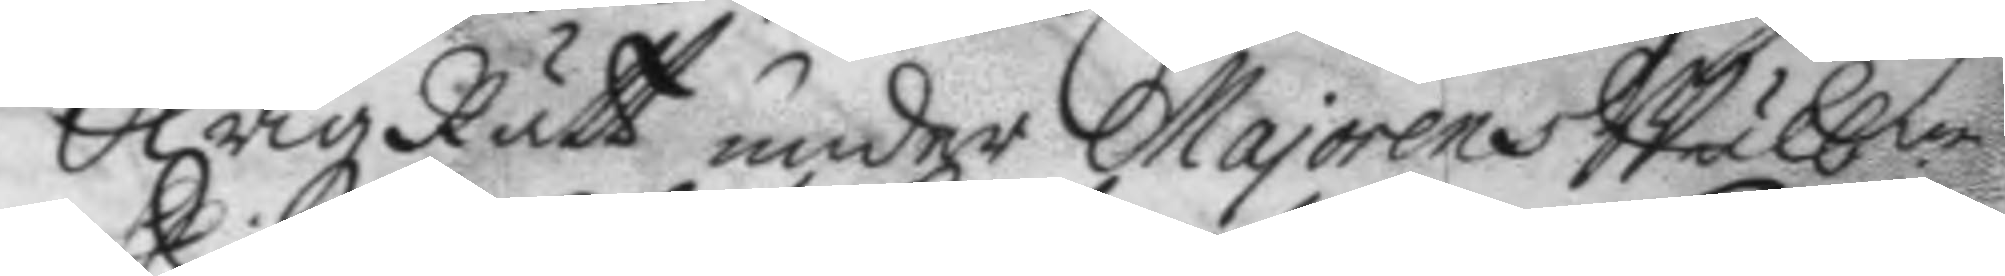Krigz Rätt under Majorens Wälb.ne
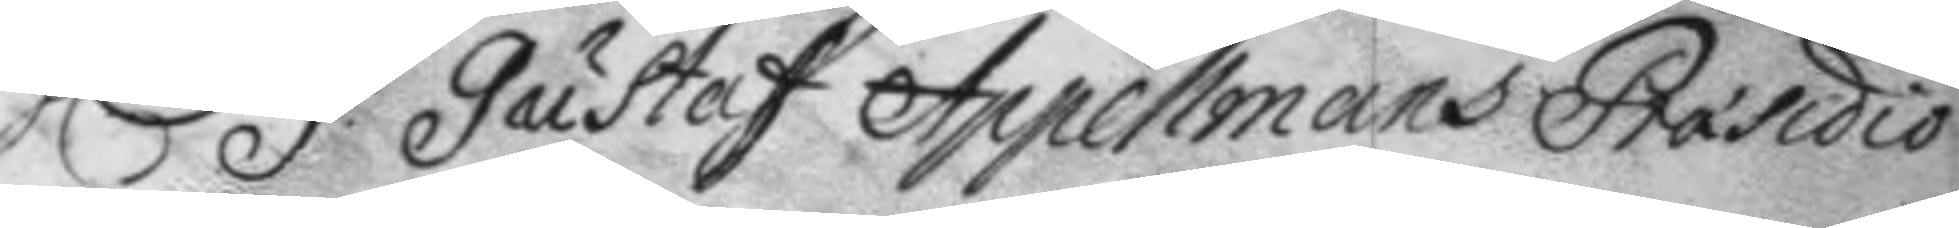h.r G: Gustaf Appelmans Præsidio
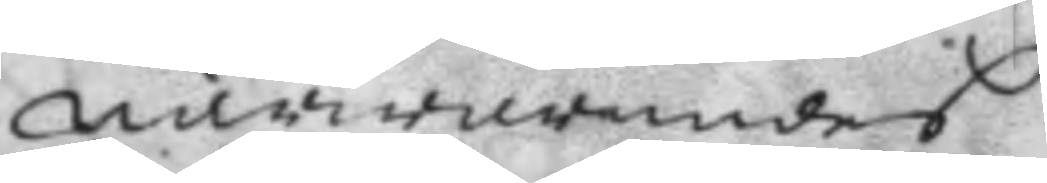närwarandes
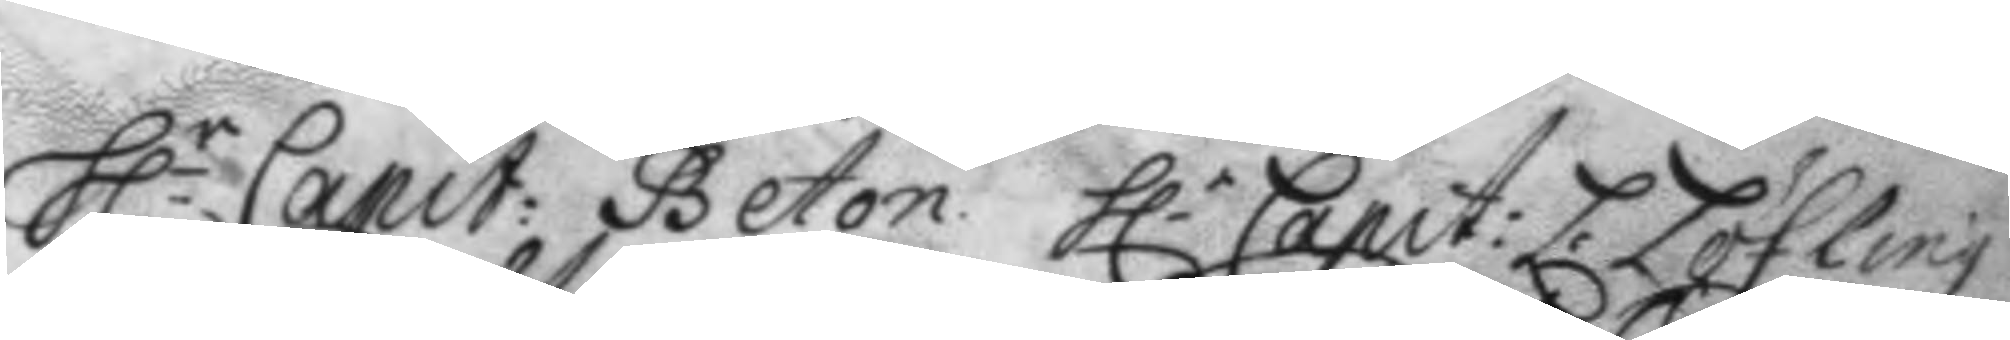h.r Capit: Beton. h.r Capit: L: Löfling
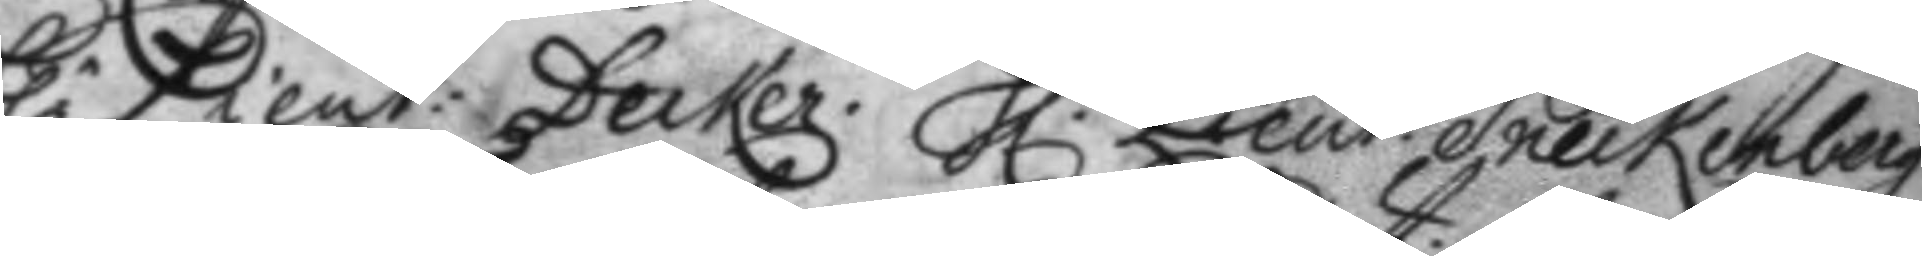h.r Lieut: Decker. h.r Lieut. Sneckenberg
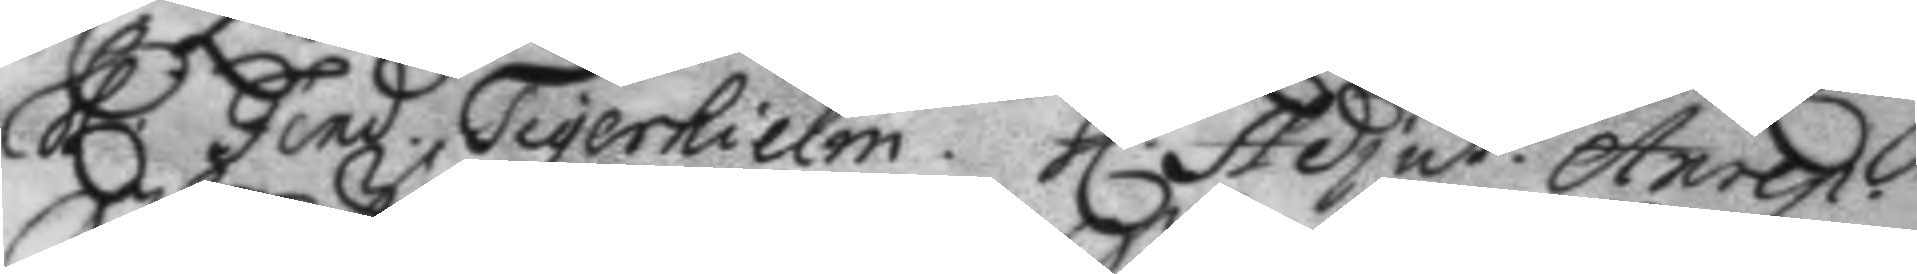h.r Fend. Tigerhielm. h.r Adjut. Anrep.
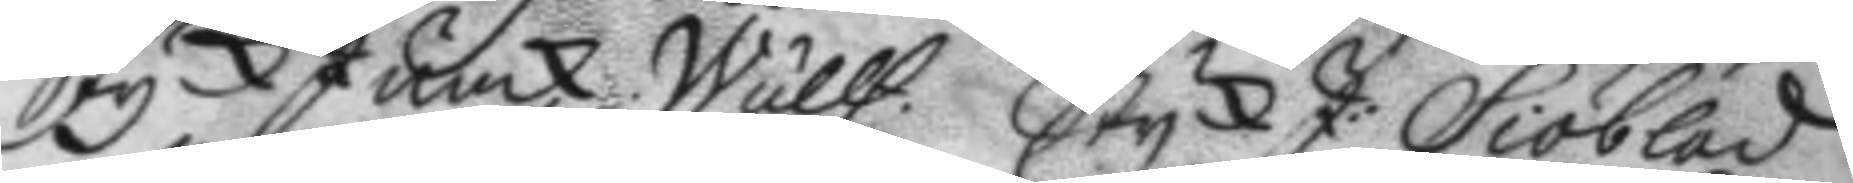StyckJunck. Wullf. StyckJ: Siöblad
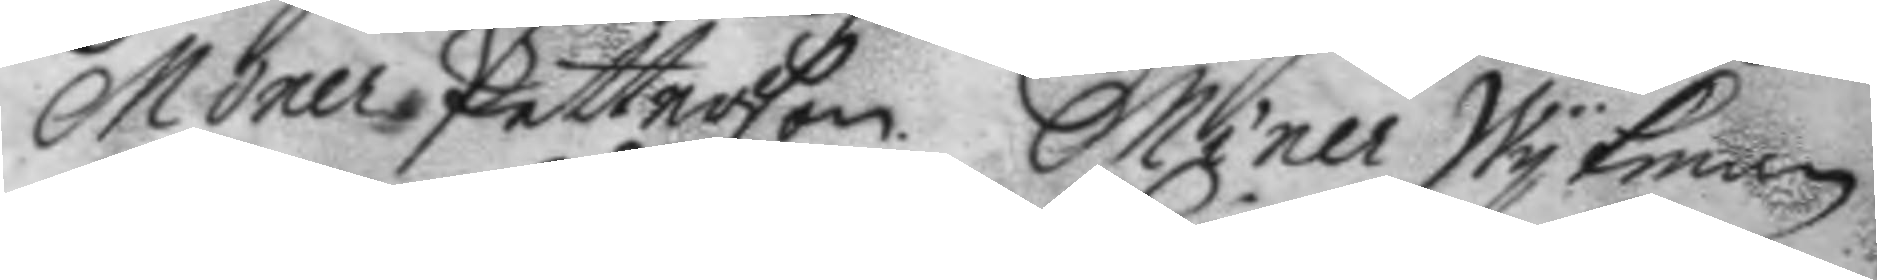Miner Petterson. Miner Wykman
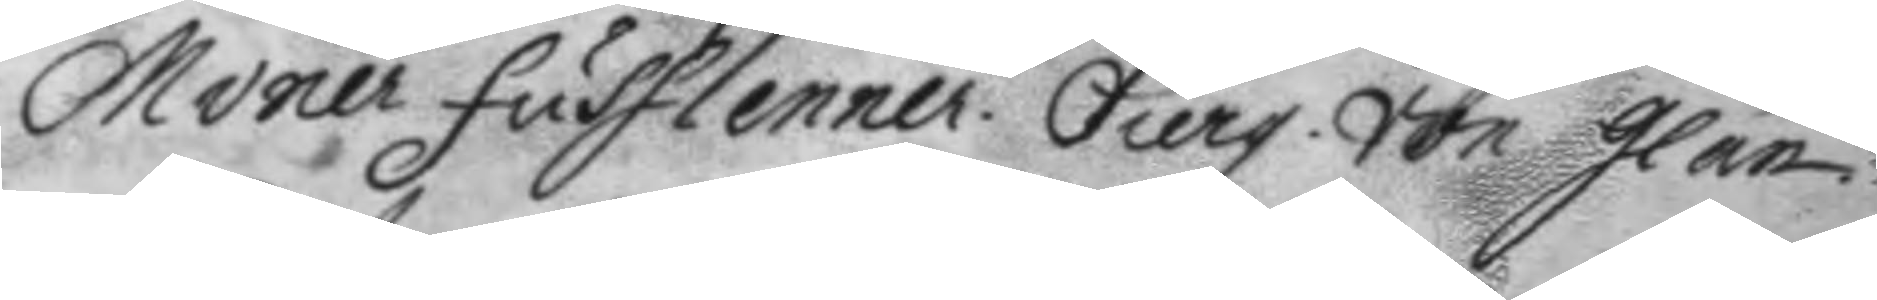Miner Fustlenner. Sierg. von glan.
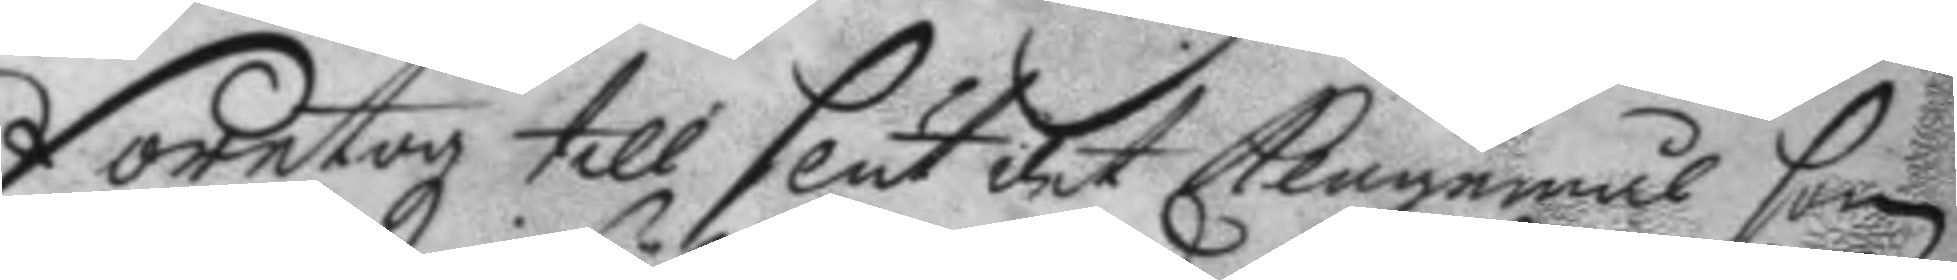Företogz till slut det klagomål som
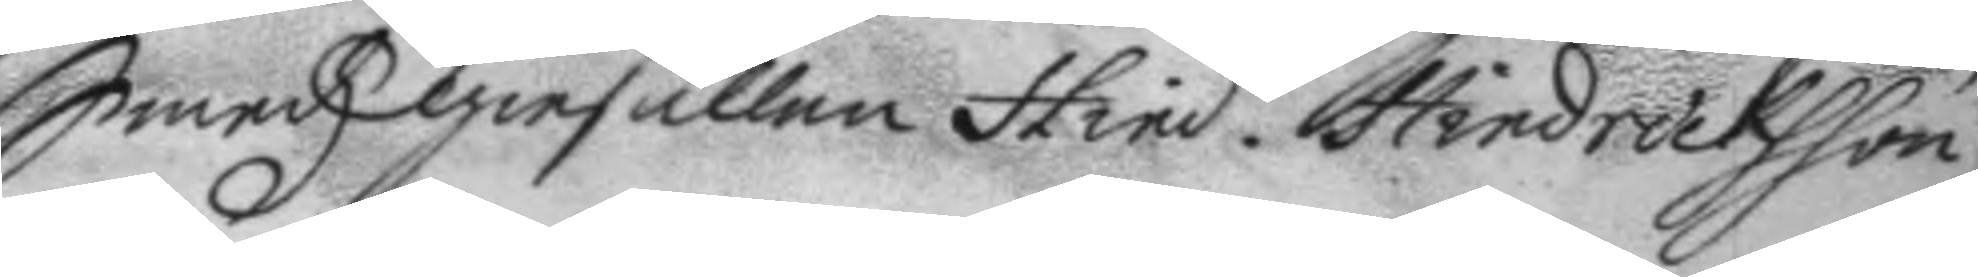Smedz giesällen Hind. Hindrichsson
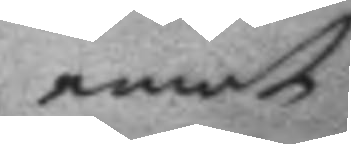emot
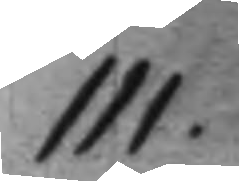111.
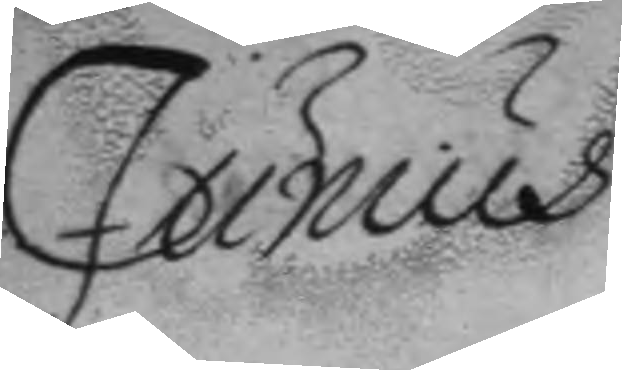Junius
